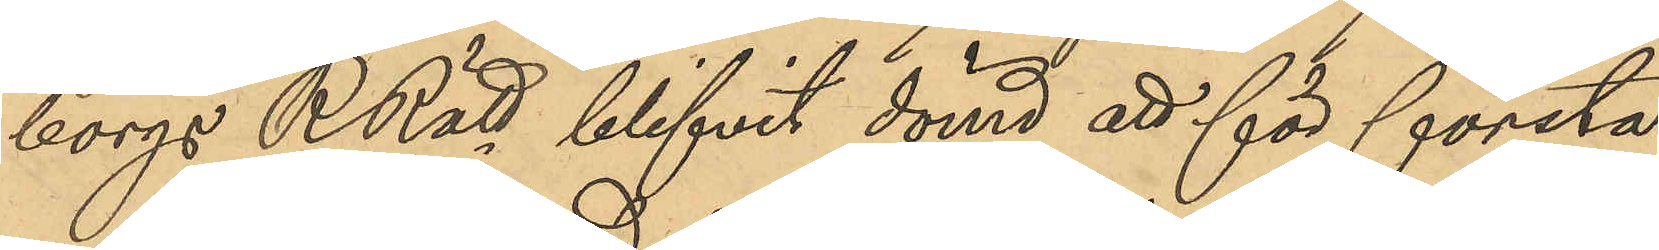borgs RRätt blifvit dömd att för första
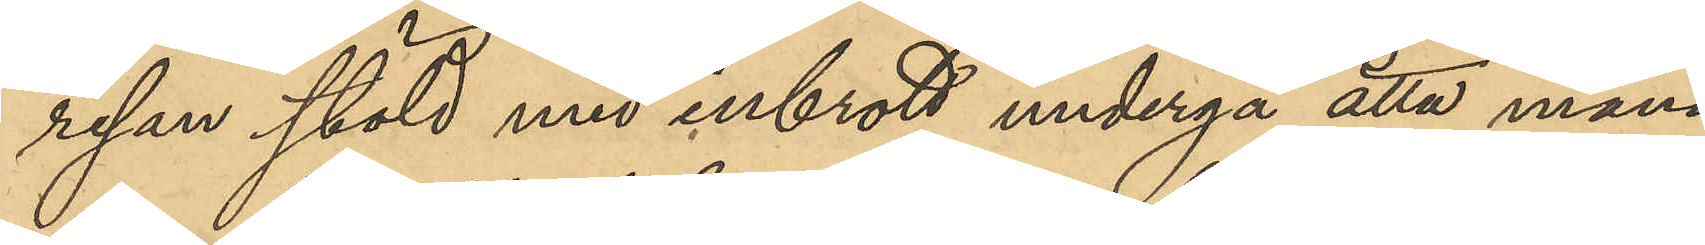resan stöld med inbrott undergå åtta måna¬
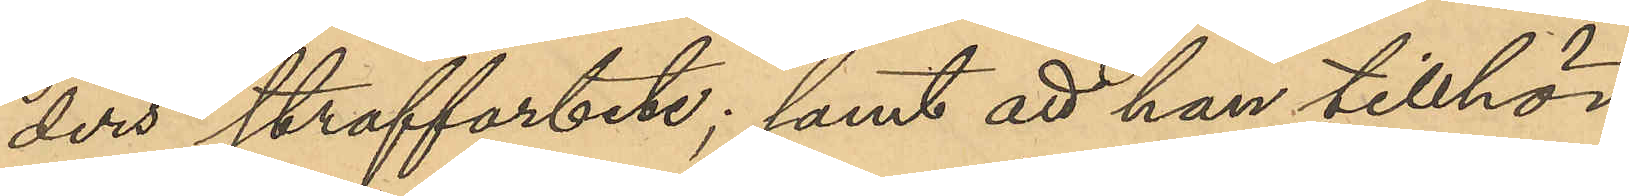ders straffarbete; samt att han tillhör
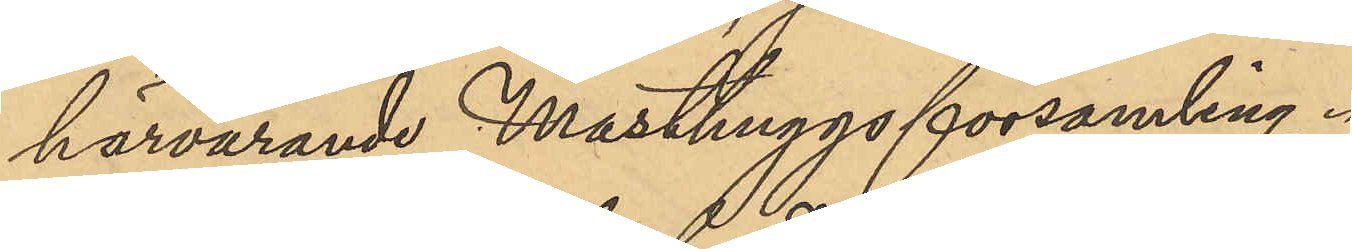härvarande Masthuggsförsamling
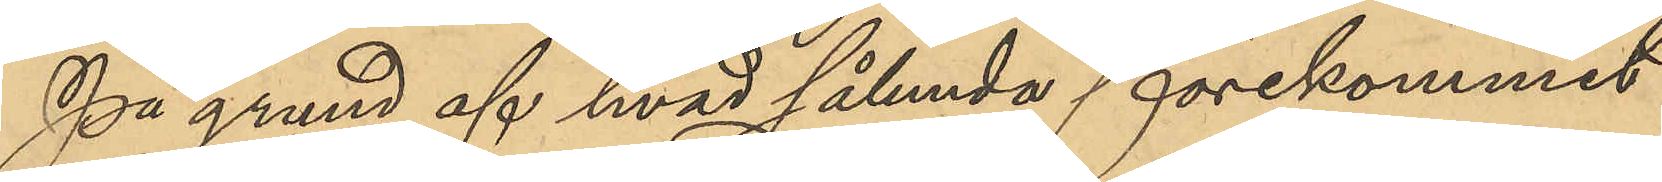På grund af hvad sålunda förekommit
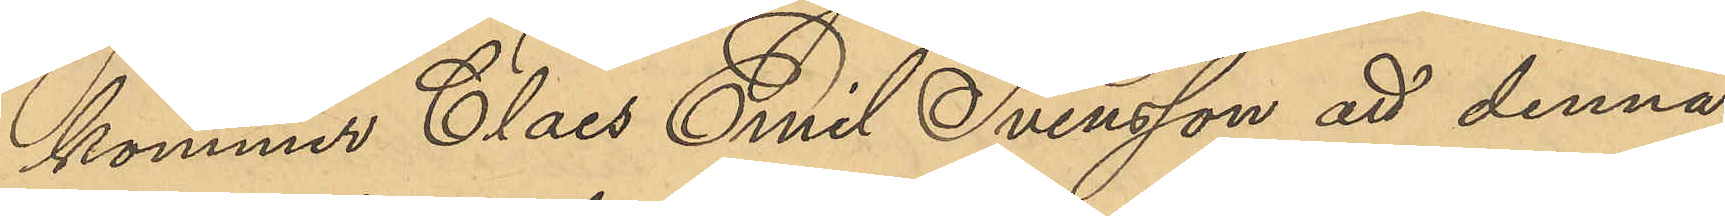kommer Claes Emil Svensson att denna
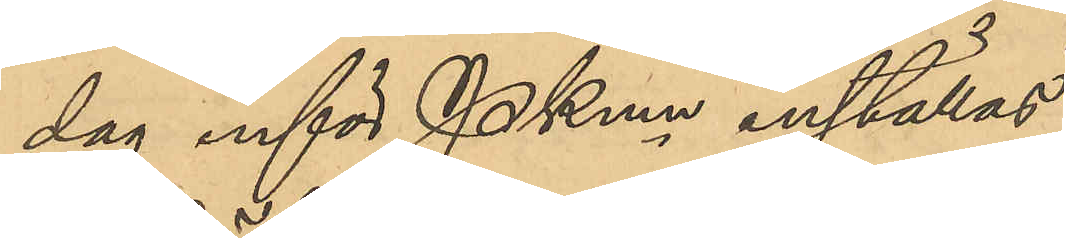dag inför PKmn inställas.
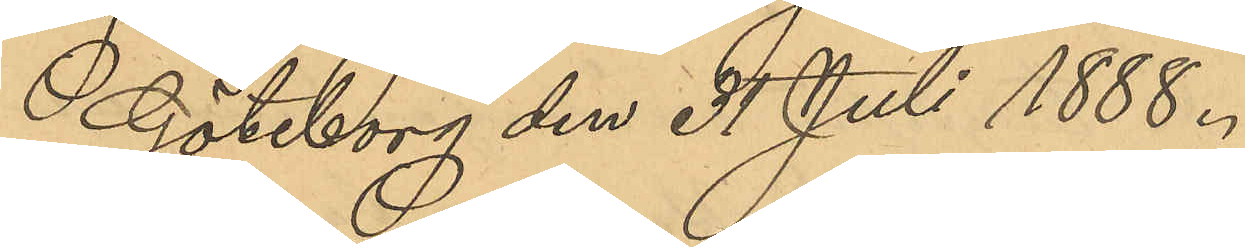Göteborg den 31 Juli 1888.
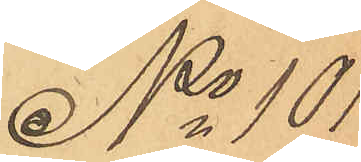No 101
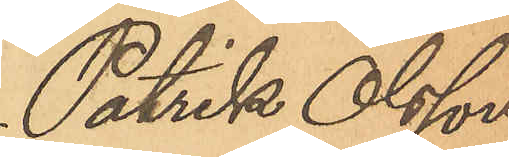Patrik Olsson
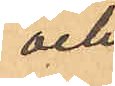och
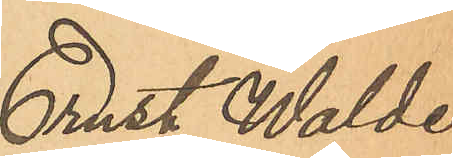Ernst Walde¬
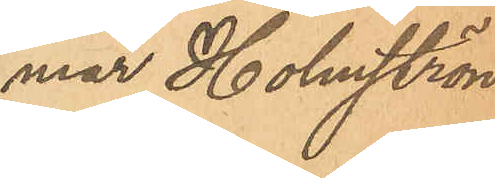mar Holmström.
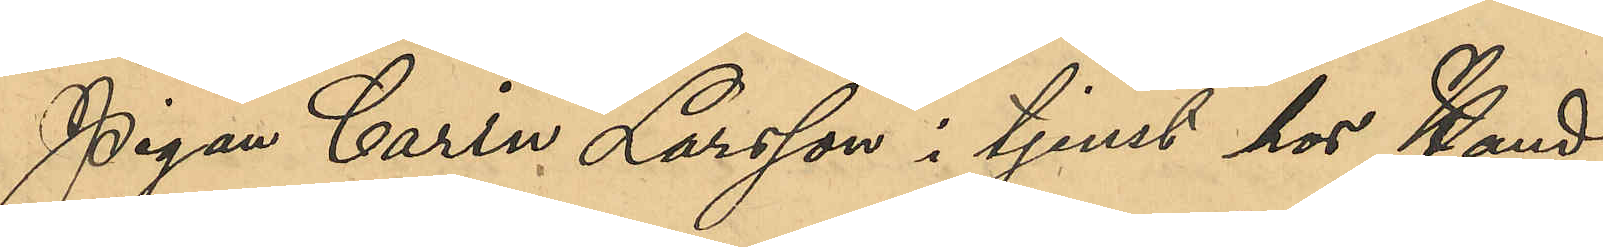Pigan Carin Larsson i tjenst hos Hand¬
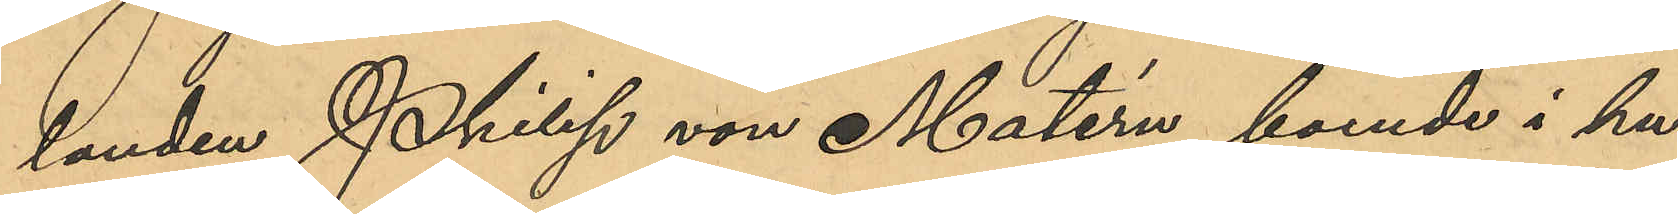landen Philip von Matérn, boende i hu¬
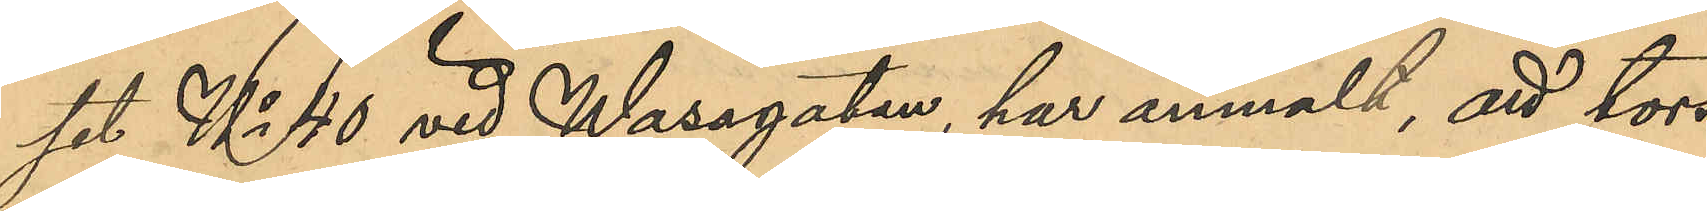set No 40 vid Wasagatan, har anmält, att tors¬
